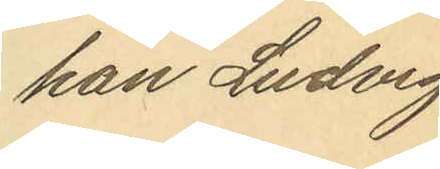han Ludvig
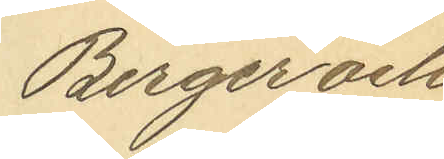Berger och
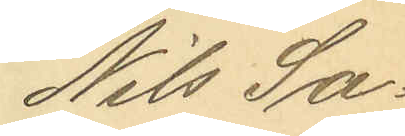Nils Sa¬
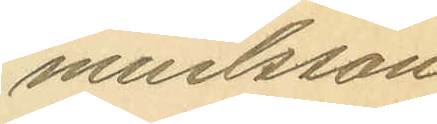muelsson.
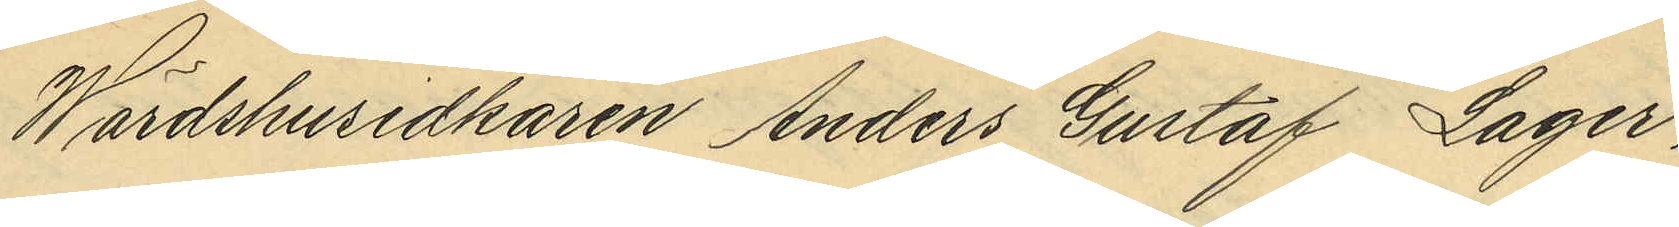Wärdshusidkaren Anders Gustaf Lager,
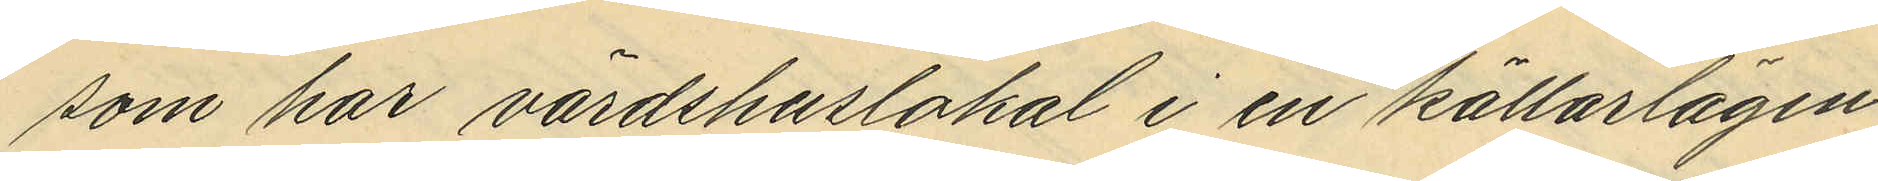som har värdshuslokal i en källarlägen¬
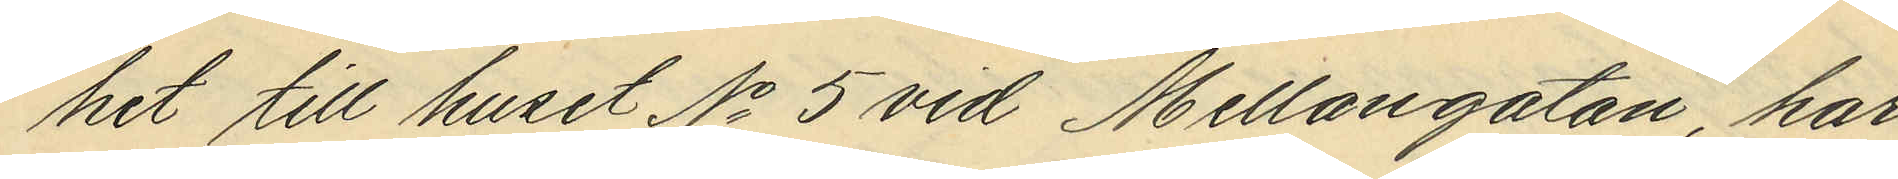het till huset No 5 vid Mellangatan, har
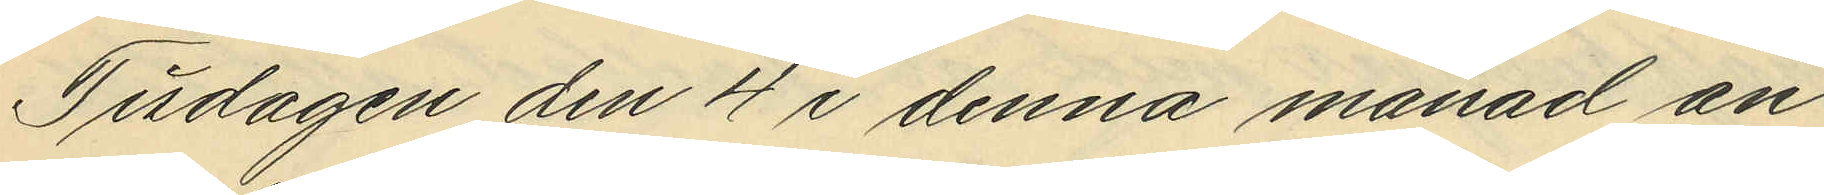Tisdagen den 4 i denna månad an¬
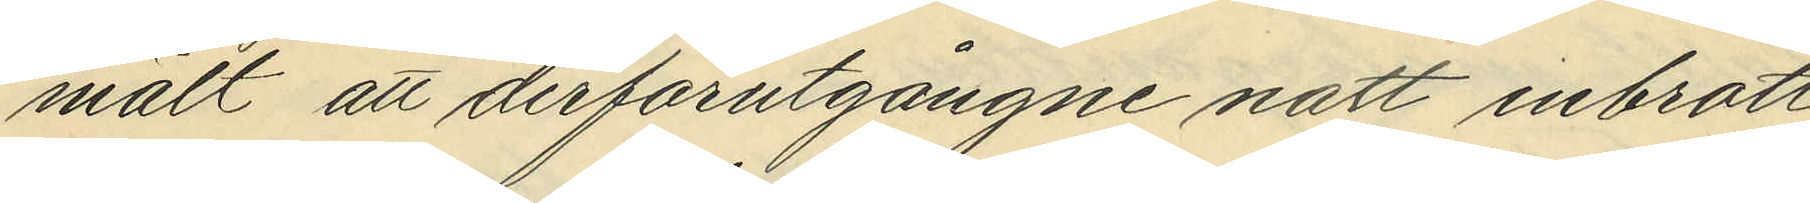mält att derförutgångne natt inbrott
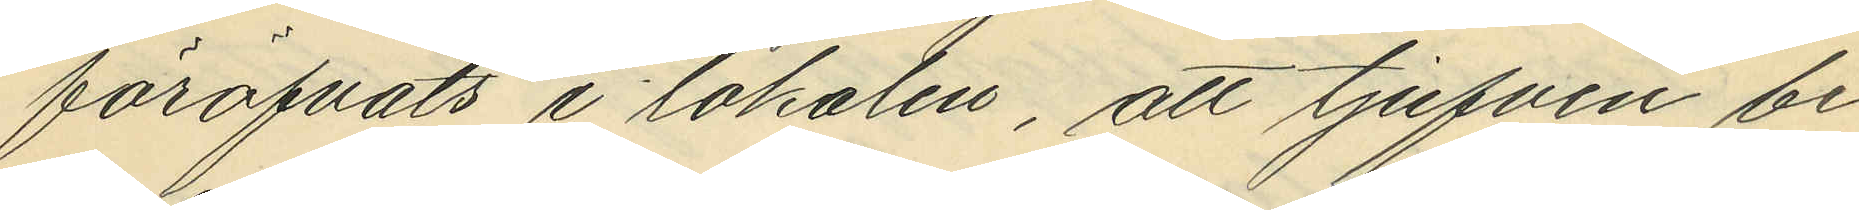föröfvats i lokalen, att tjufven be¬
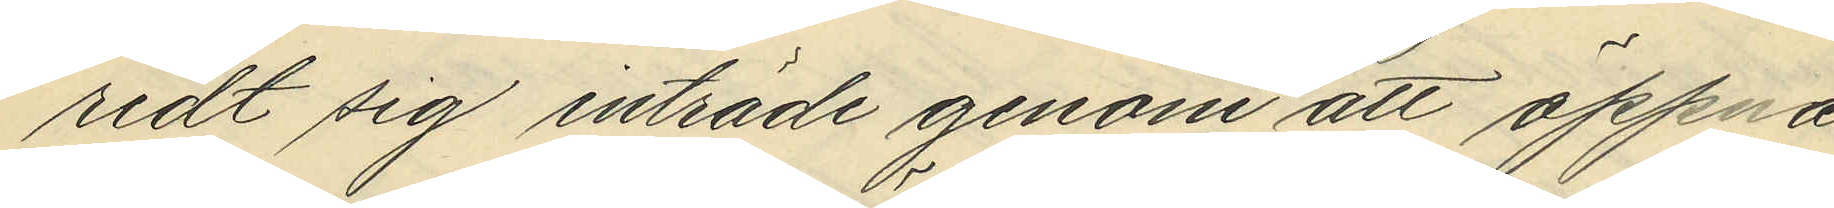redt sig inträde genom att öppna
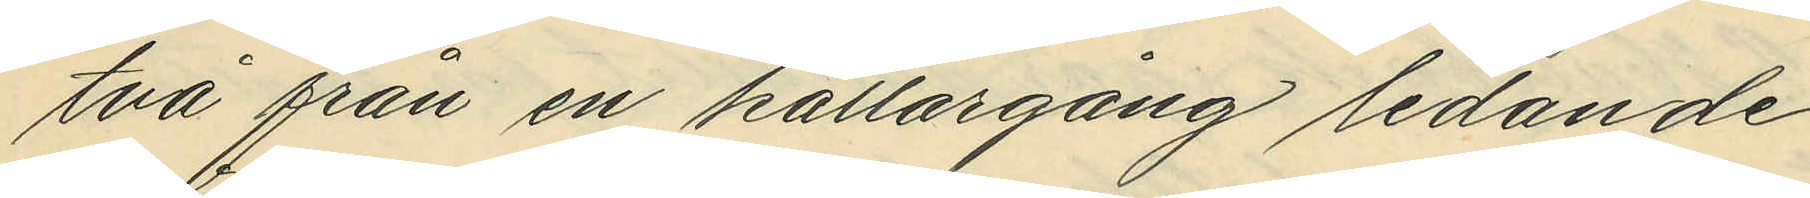två från en källargång ledande
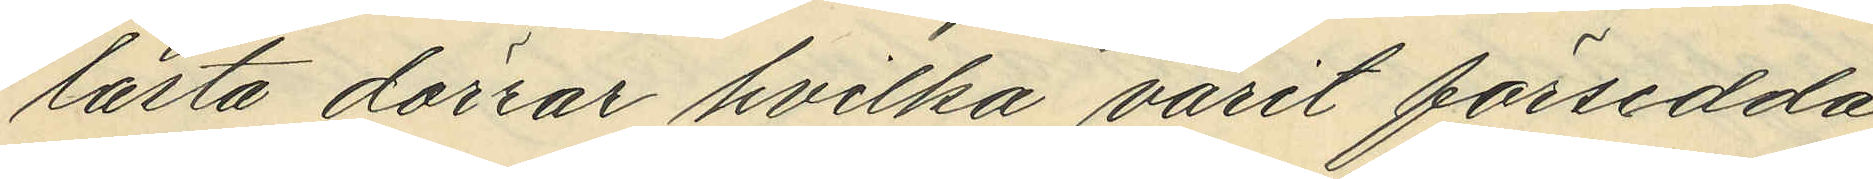låsta dörrar hvilka varit försedda
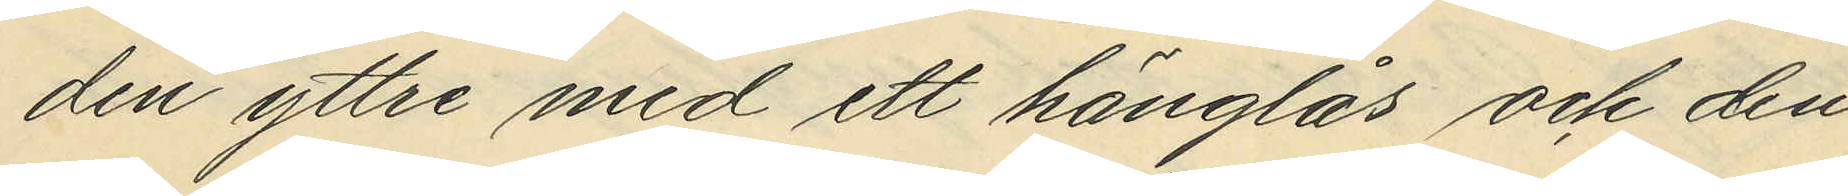den yttre med ett hänglås och den
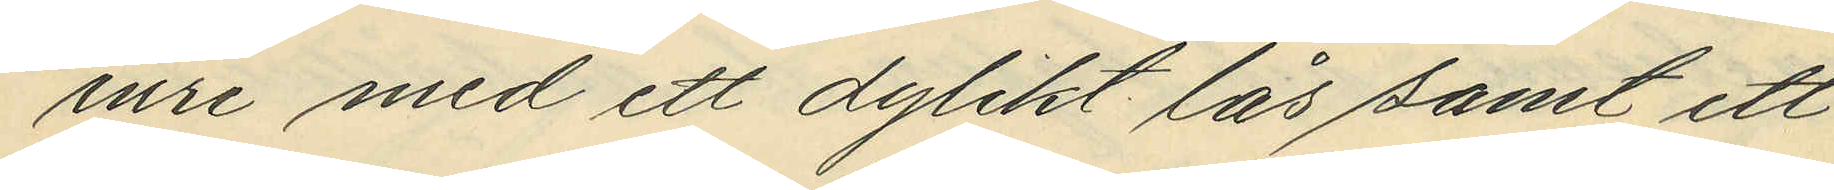inre med ett dylikt lås samt ett
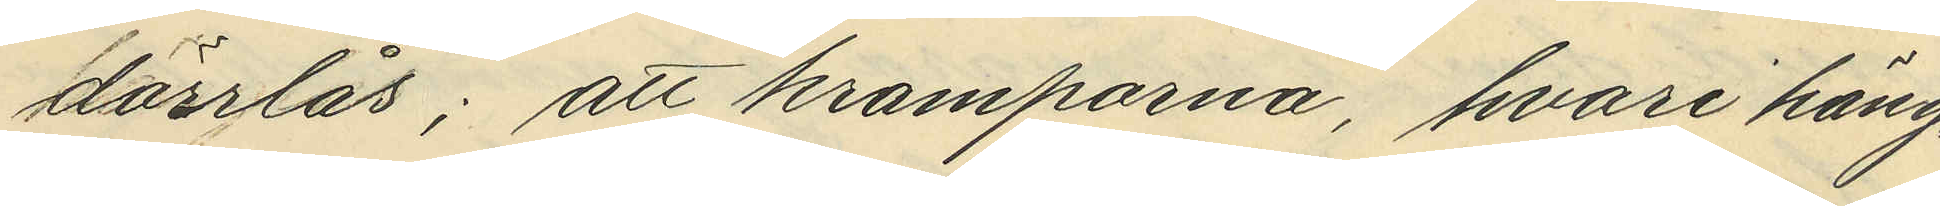dörrlås; att kramporna, hvari häng¬
